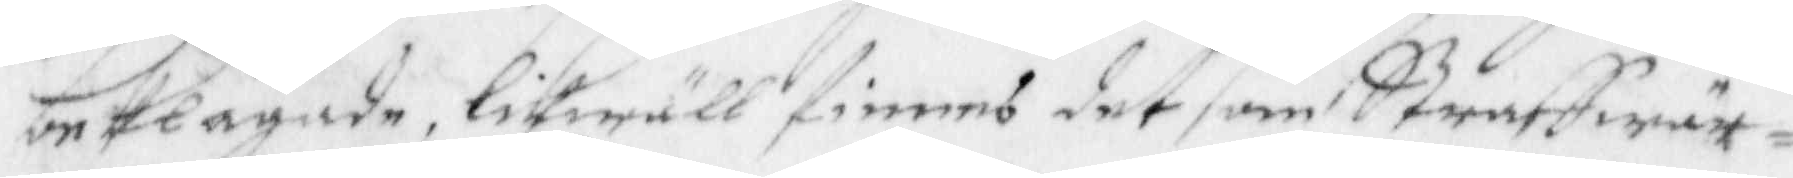beklagade, likwäll finnes det som straffwär¬
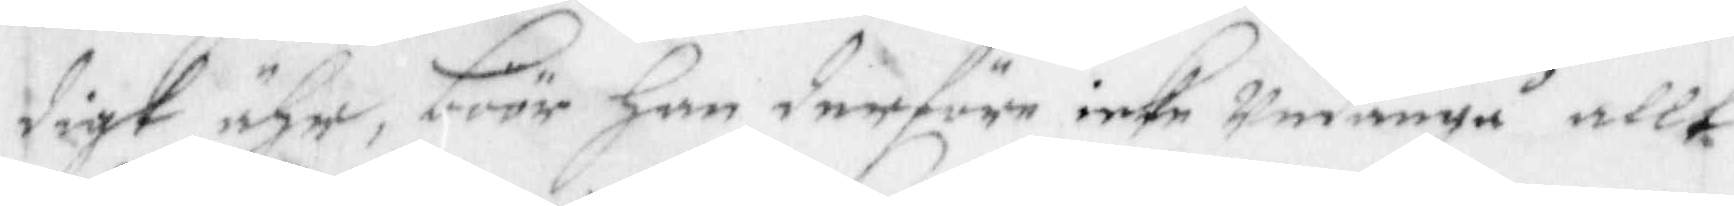digt ähr, böör han derföre inte undangå allt
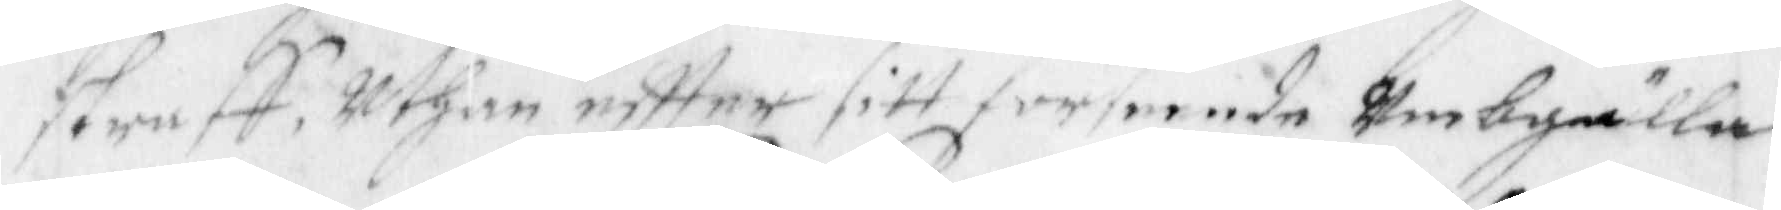straff, uthan eftter sitt förfarande umbgälla
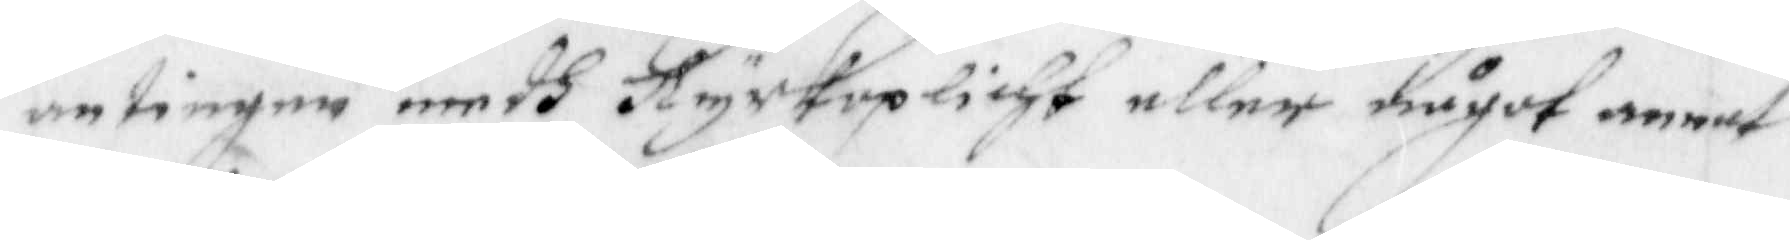antingen medh Kyrkoplicht eller något annat
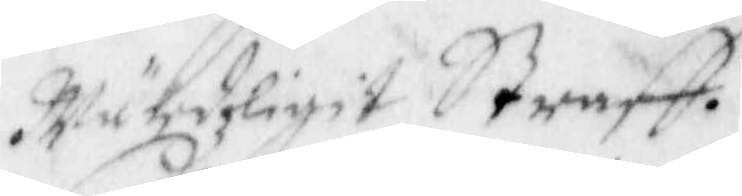 Wärdzligit Straff.
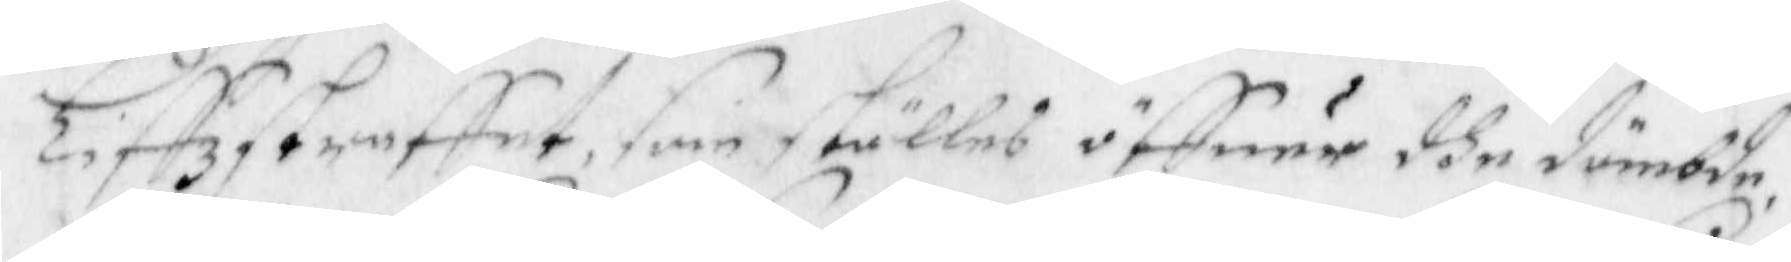Liffzstraffet, som ställes öffuer dhe dömbde
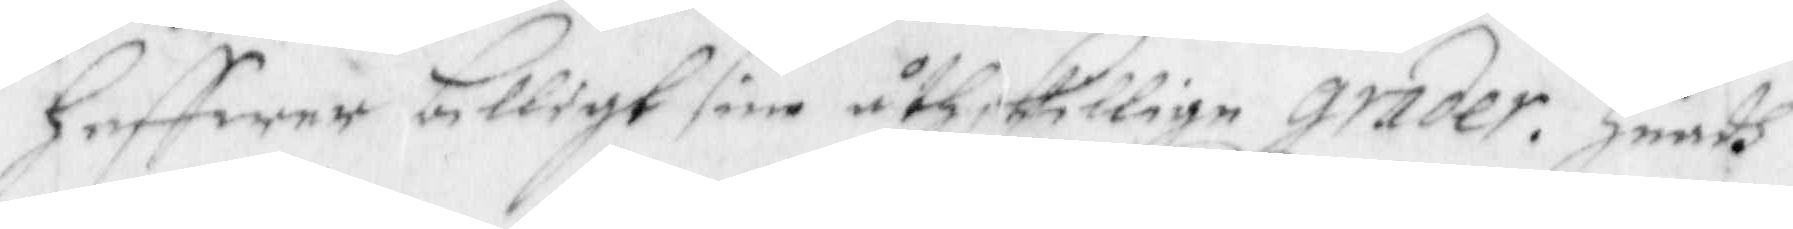haffwer billigt sine åthskillige grader. Huadh
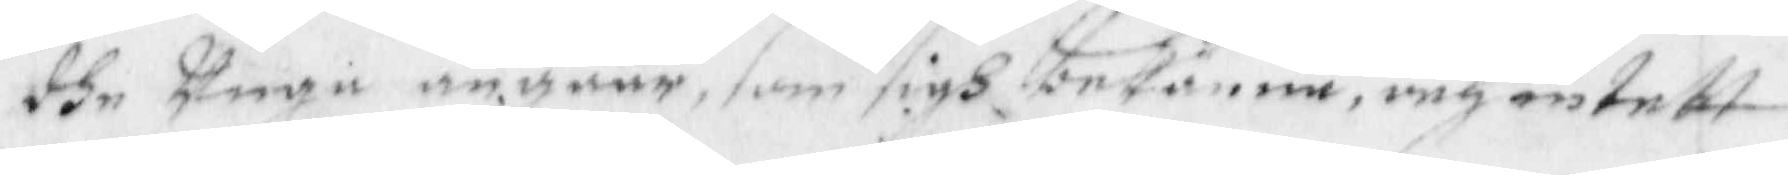dhe unge angåår som sigh beskänna, och intett
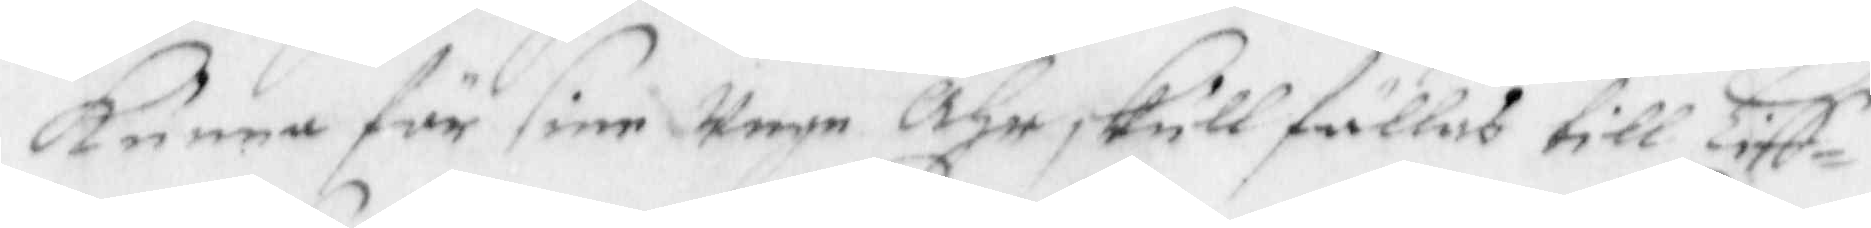kunna för sine unge åhr skull fällas till Liff¬
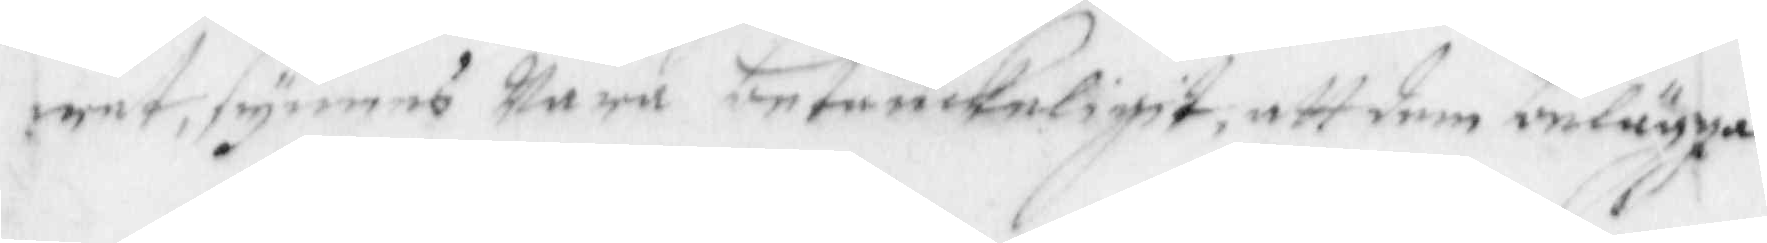wet, synes wara betänkeligit, att dem belägga
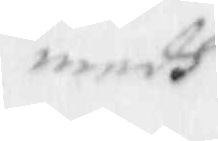medh
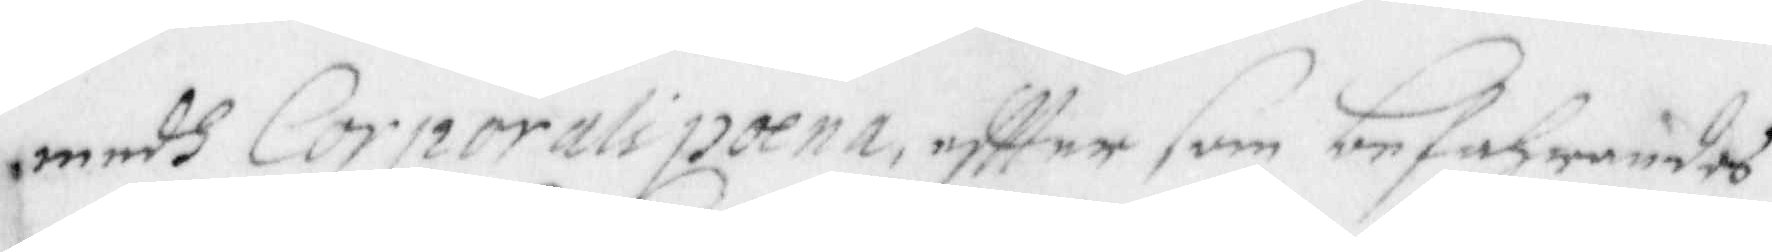medh Corporali poena, eftter som befahrandes
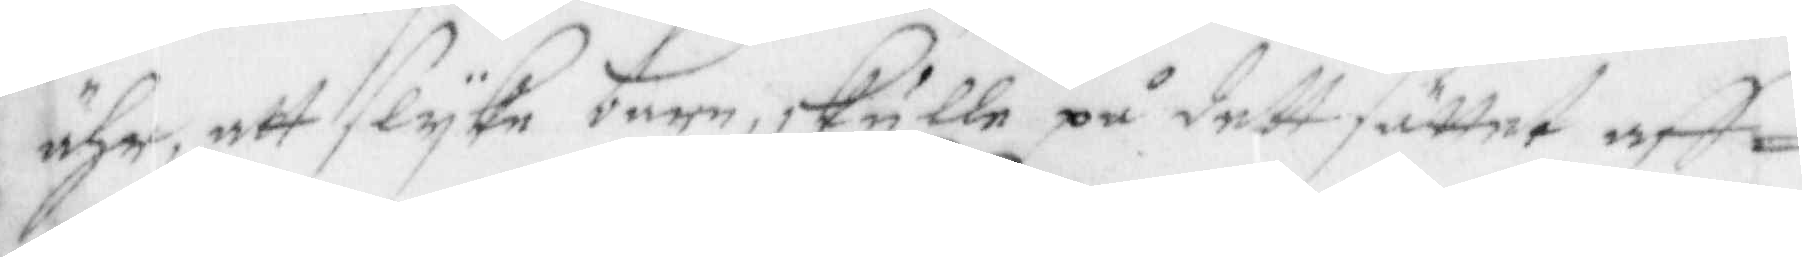ähr, att slyka barn, skulle på dett såttet aff-
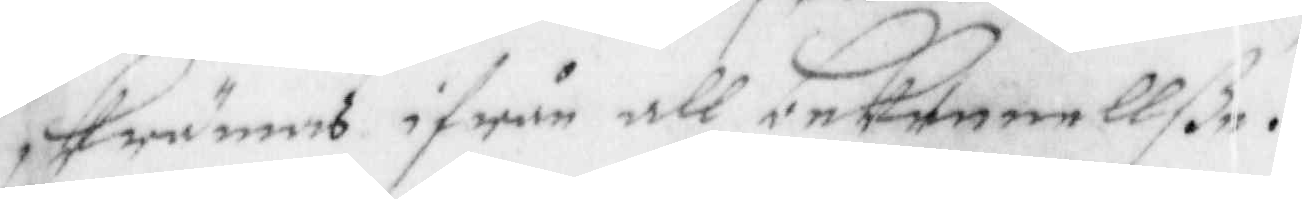skrämas ifrån all bekennellße.
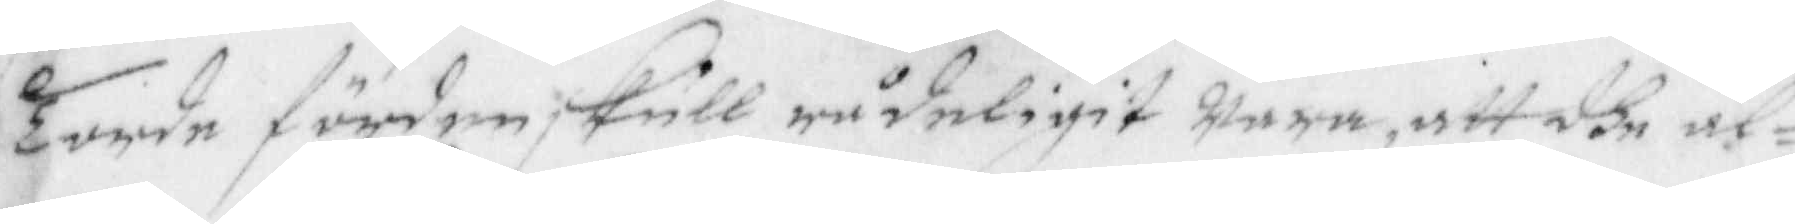Torde förden skull rådeligit wara, att dhe al¬
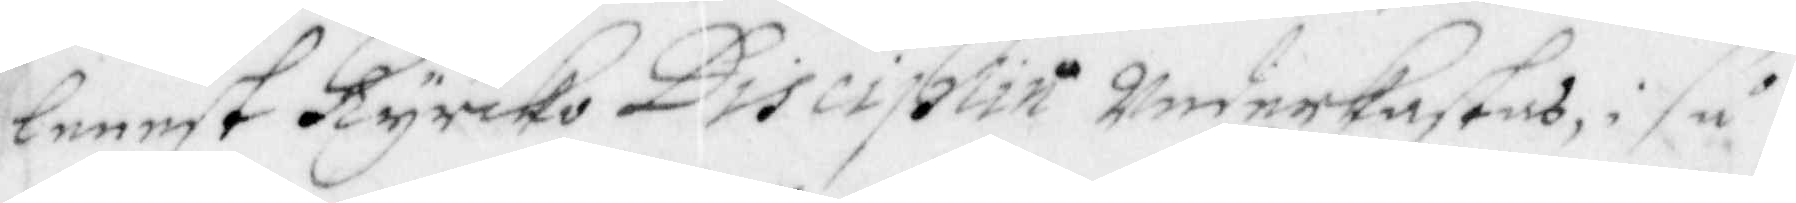lenest Kyrko Disiplin underkastas, i så
